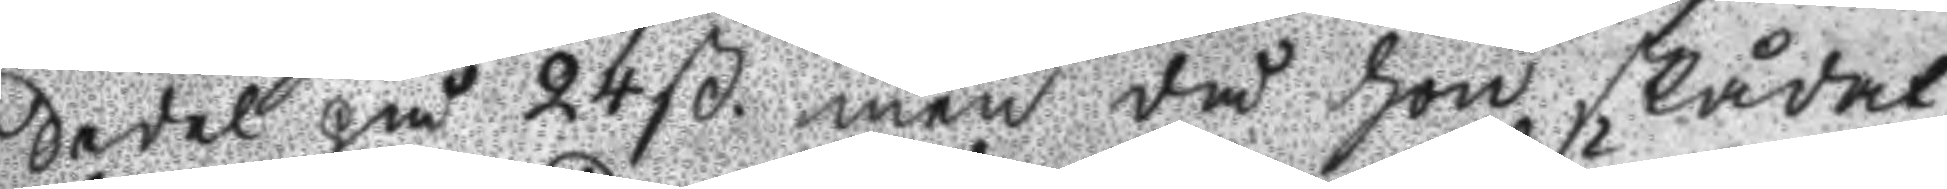Sedel på 24. ß. men då hon skådat
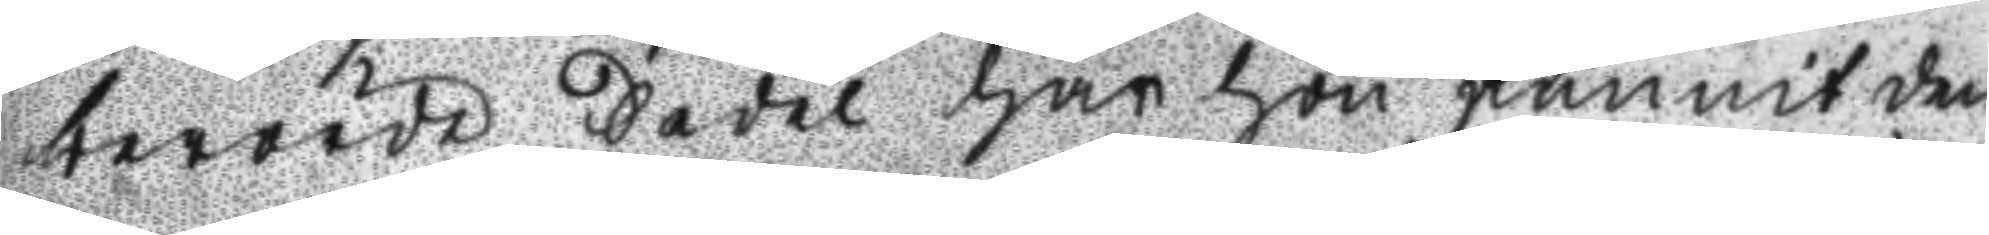berörde Sedel har hon funnit den
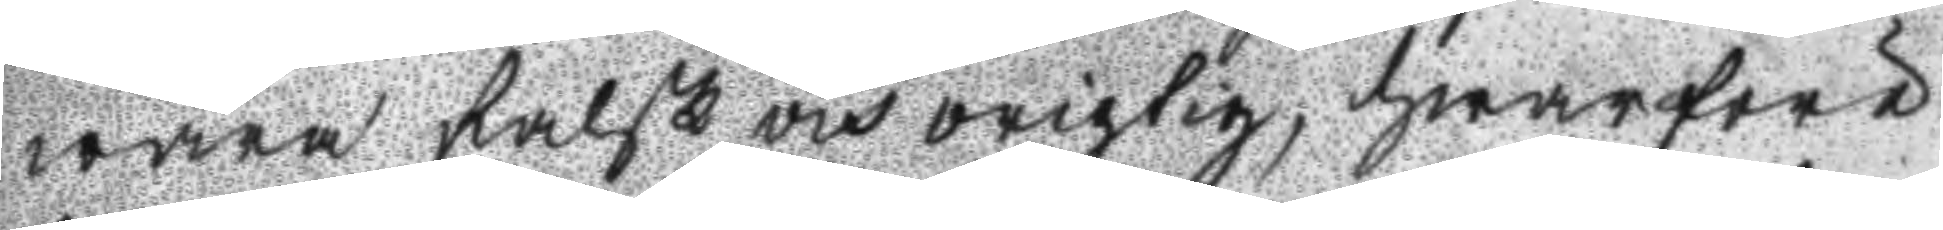wara falsk och origtig, hwarföre
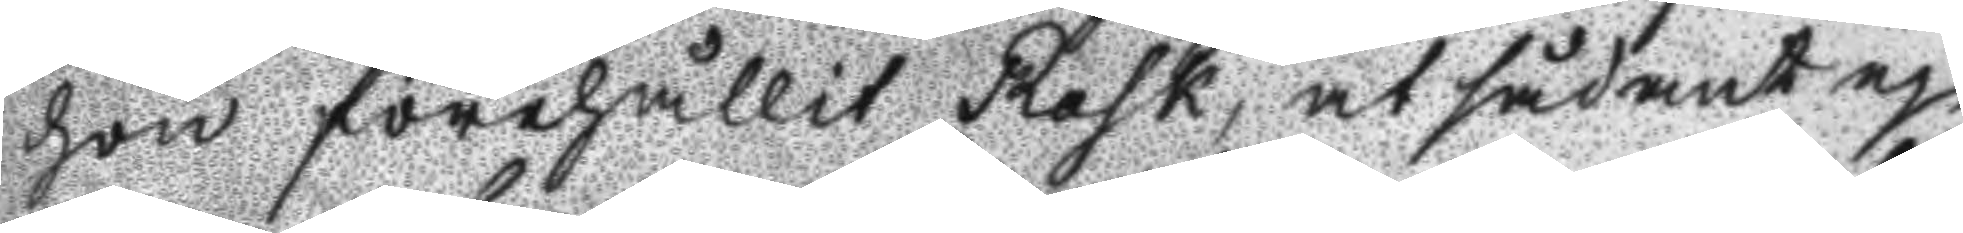hon förehållit Rask, at sådant ej
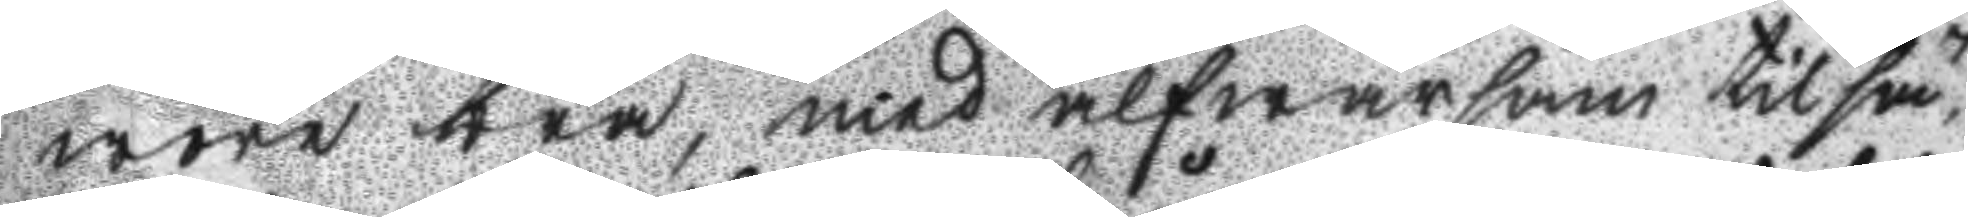wara bra, med alfwarsan tillsä¬
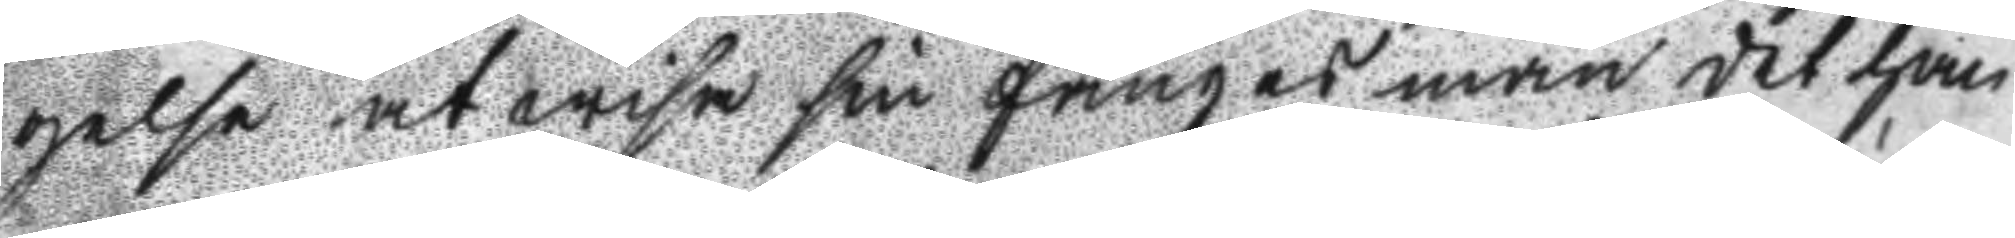gelse at wisa sin fångesman det han
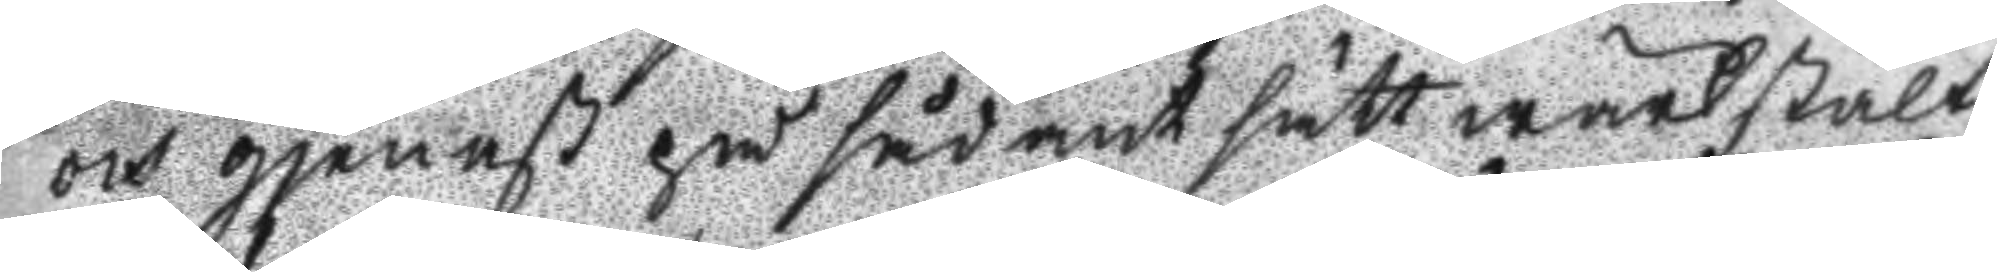och gjenst på sådant sätt wärkstält,
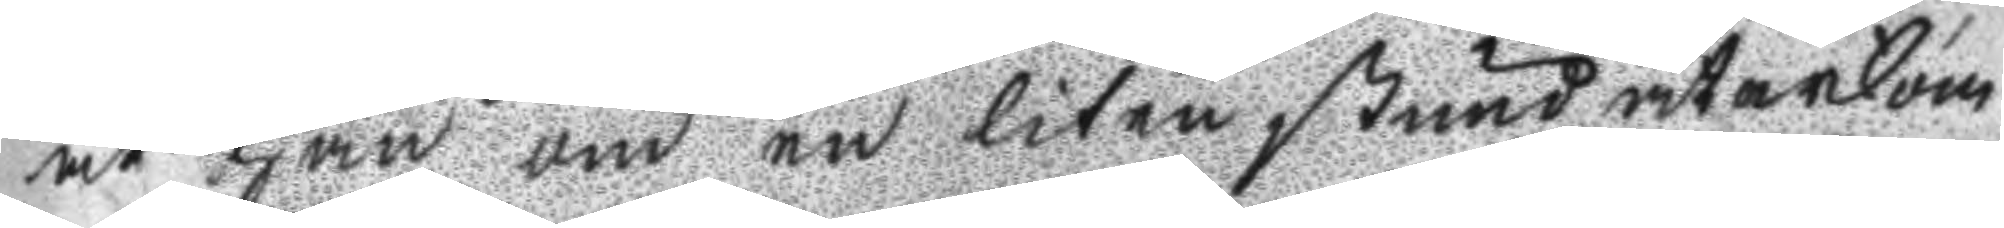at han om en liten stund återkom
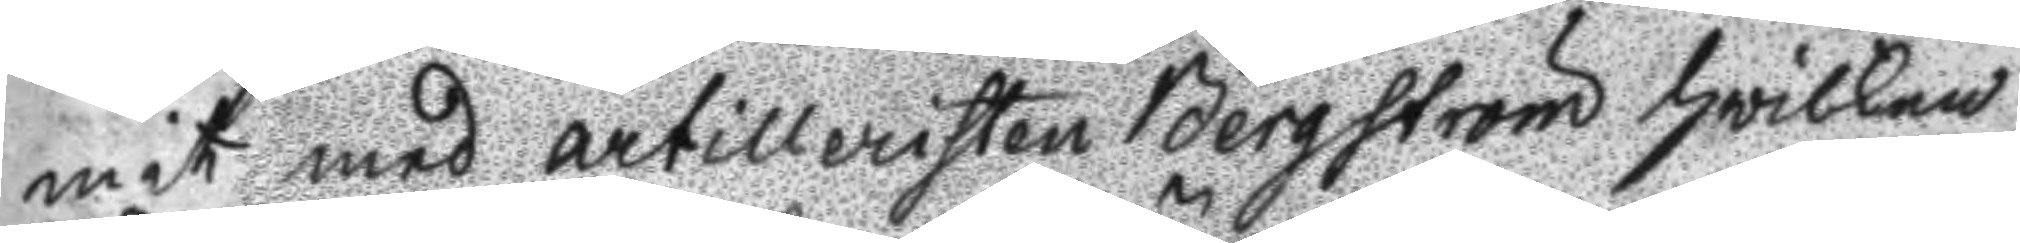mit med artilleristen Bergström hwilken
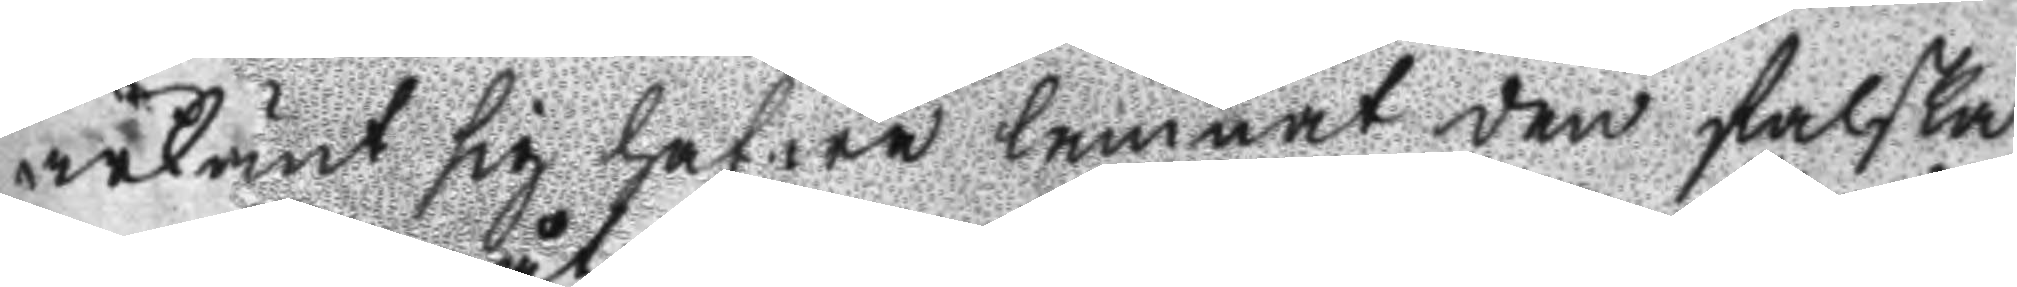ärkänt sig hafwa lämnat den falska
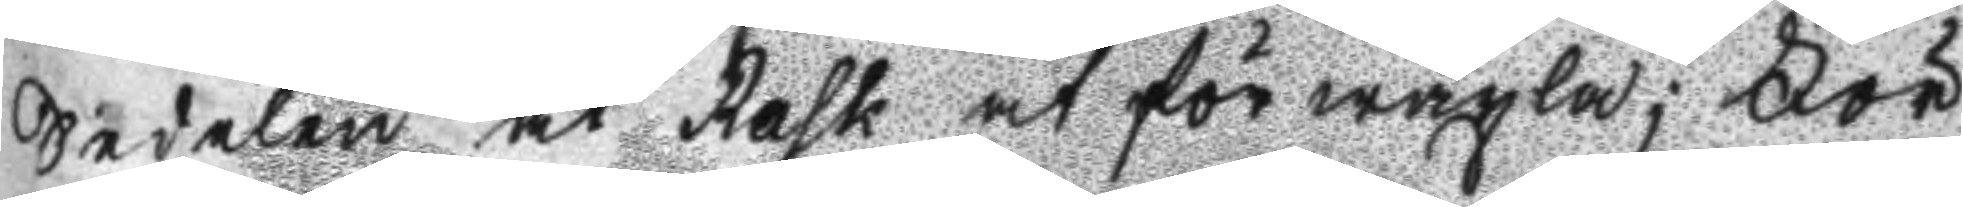Sedelen åt rask at för wäxla; För
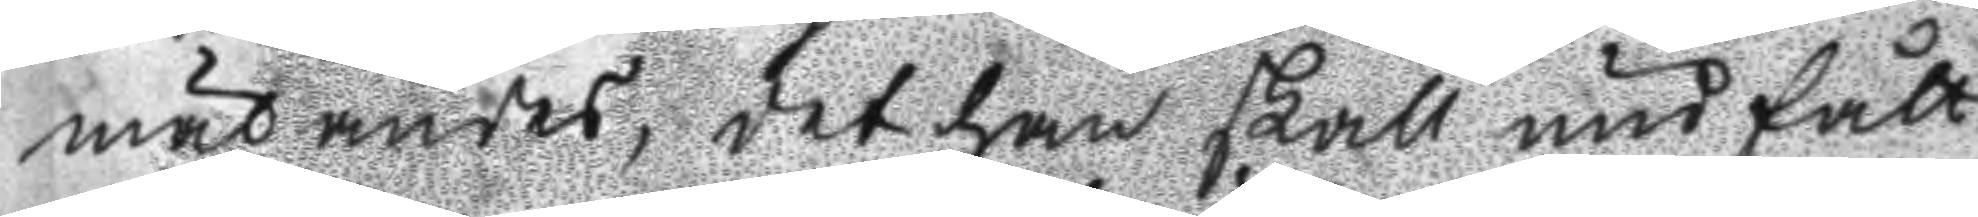mätandes, det han skall undfått
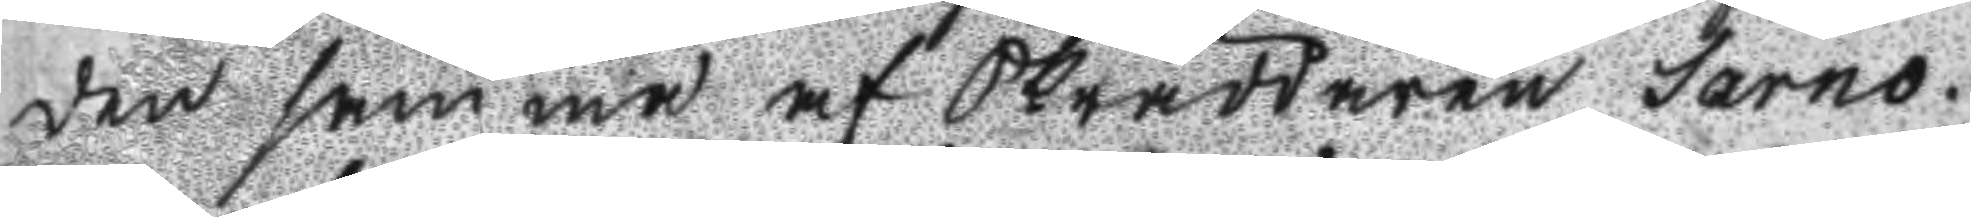den samma af Skräddaren Sarno.
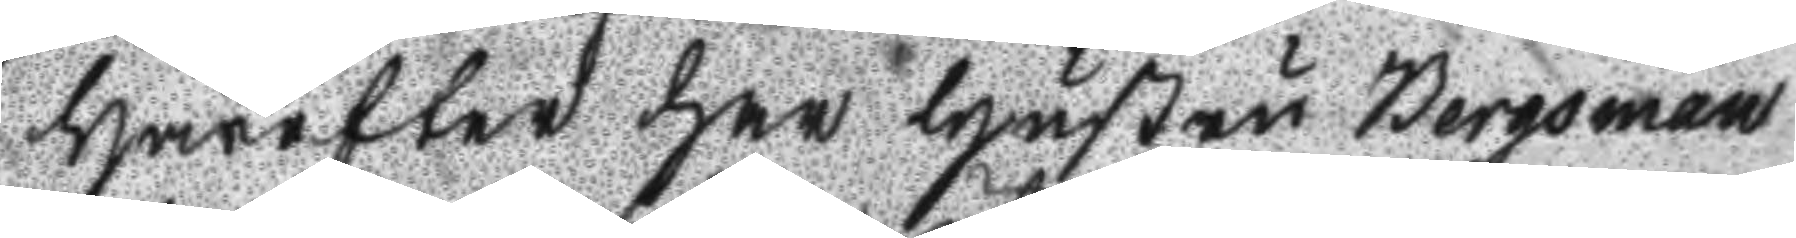Härefter har Hustru Bergsman
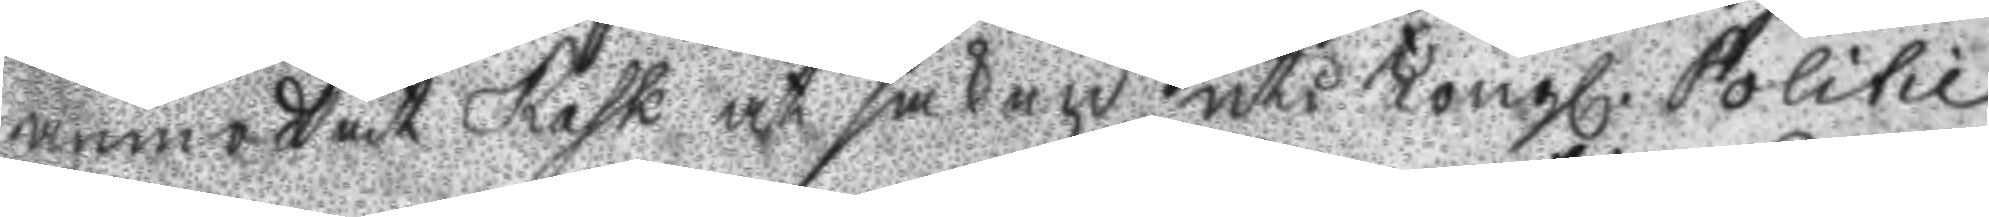anmodat Rask at saken uti Kongl. Politie
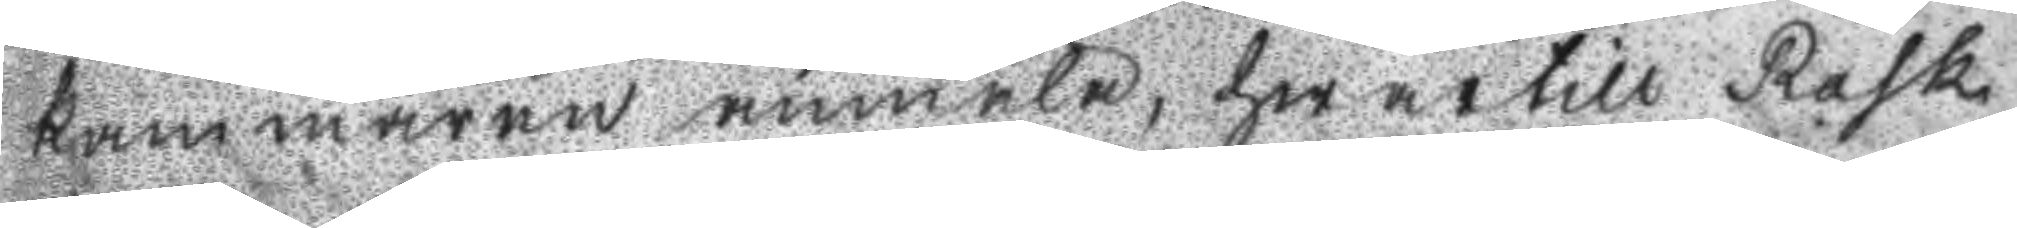kammaren anmäla, hwartill rask
